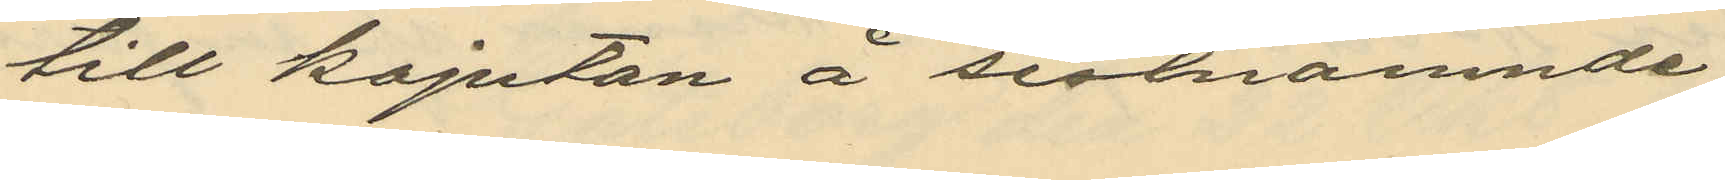till kajutan å sistnämnde
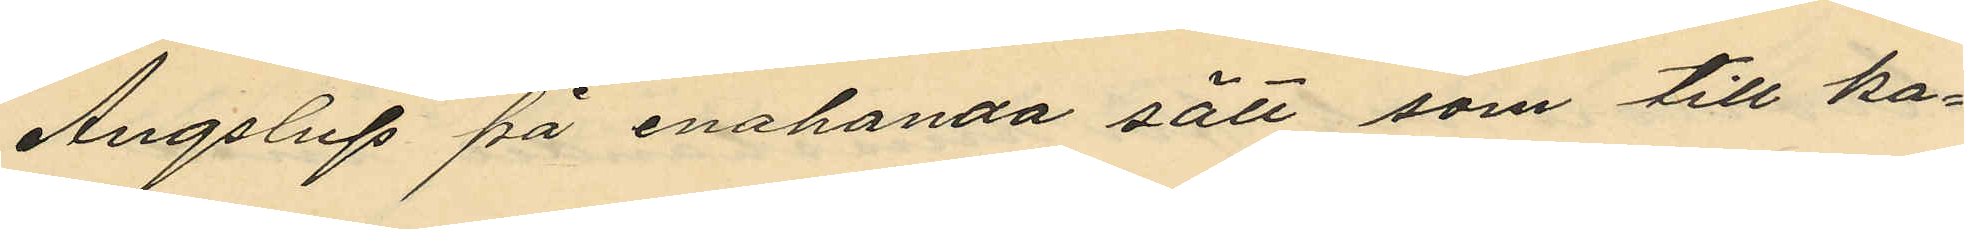Ångslup på enahanda sätt som till ka¬
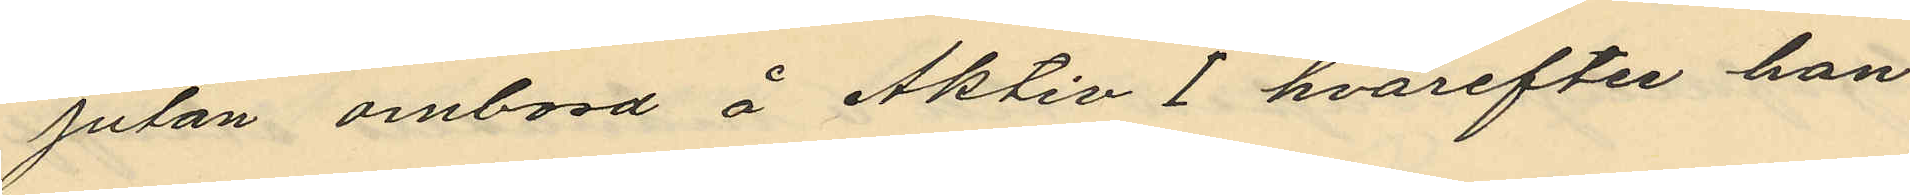jutan ombord å Aktiv I hvarefter han
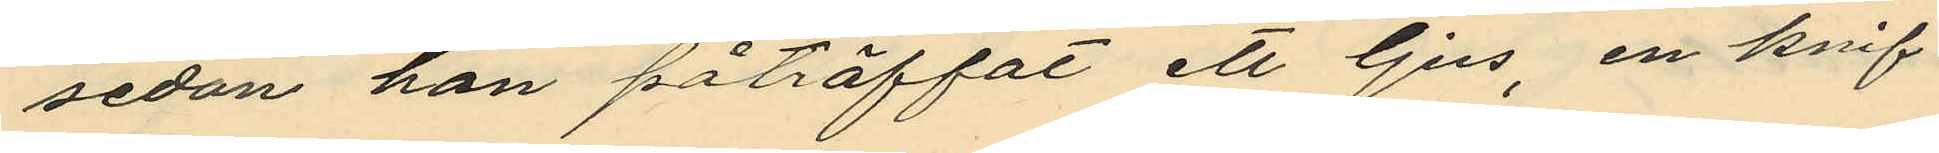sedan han påträffat ett ljus, en knif
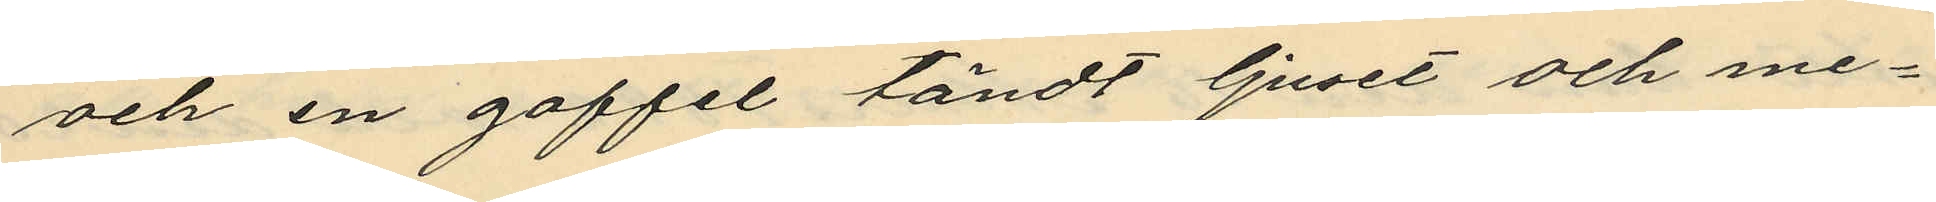och en gaffel tändt ljuset och me¬
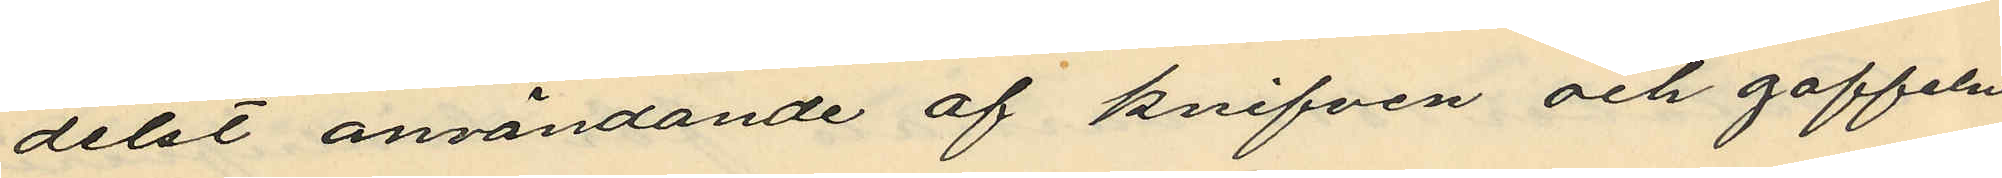delst användande af knifven och gaffeln
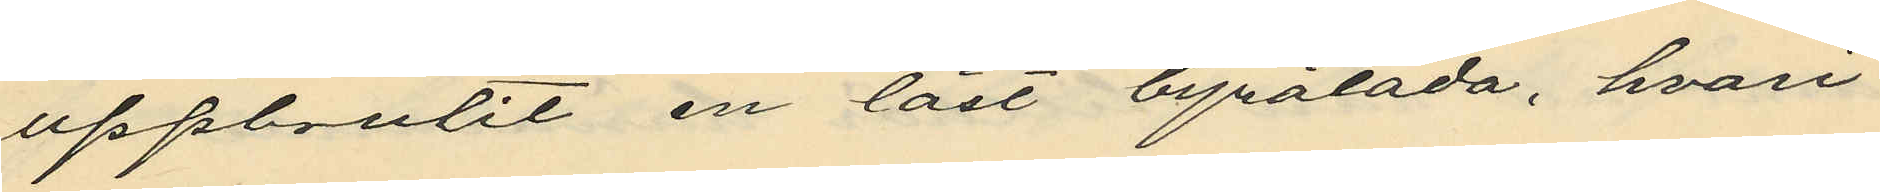uppbrutit en låst byrålåda, hvari
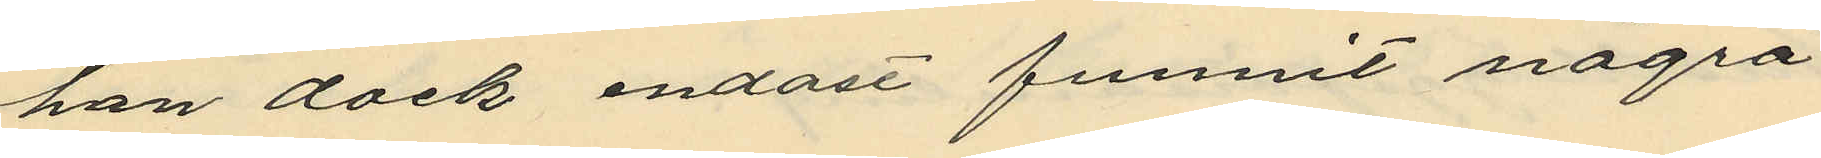han dock endast funnit några
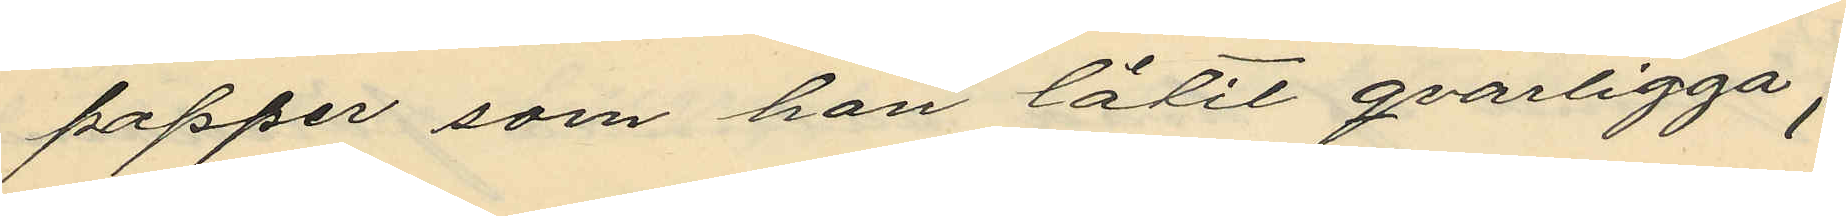papper som han låtit qvarligga;
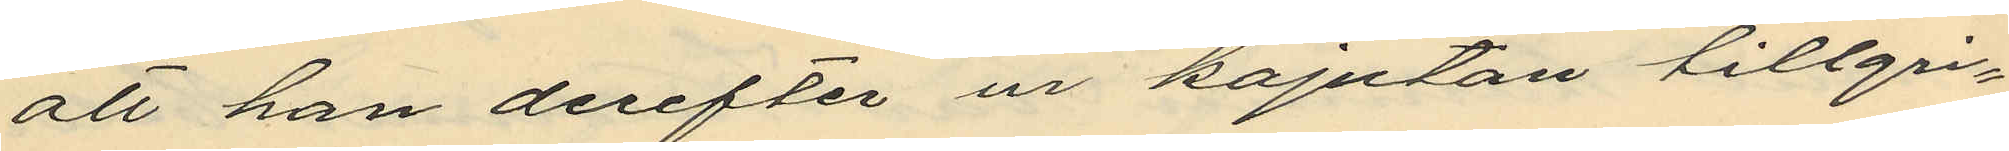att han derefter ur kajutan tillgri¬
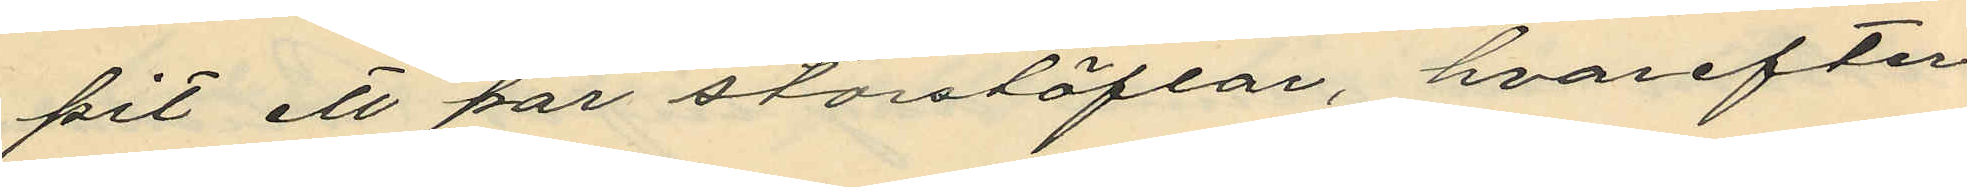pit ett par storstöflar, hvarefter
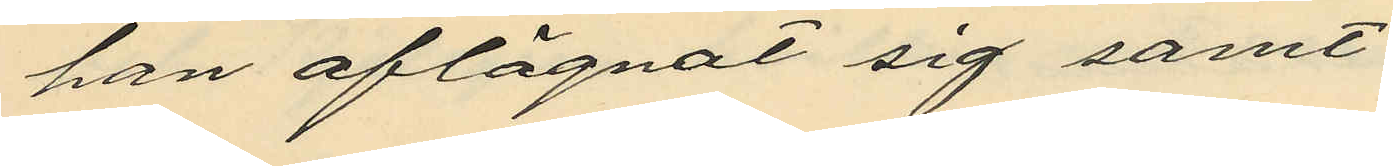han aflägnat sig samt
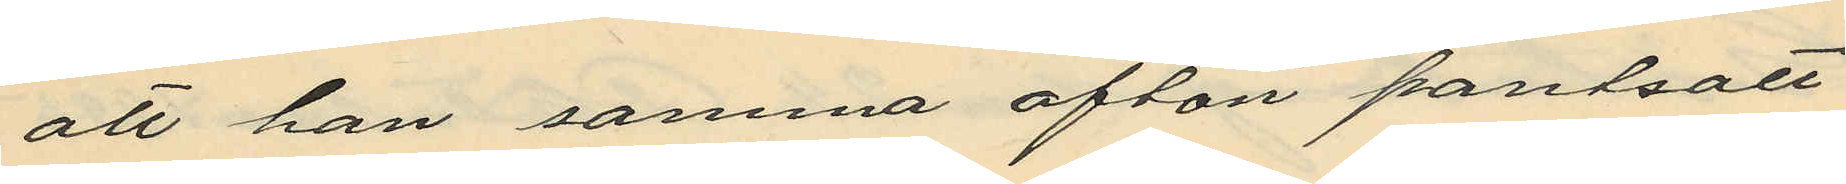att han samma afton pantsatt
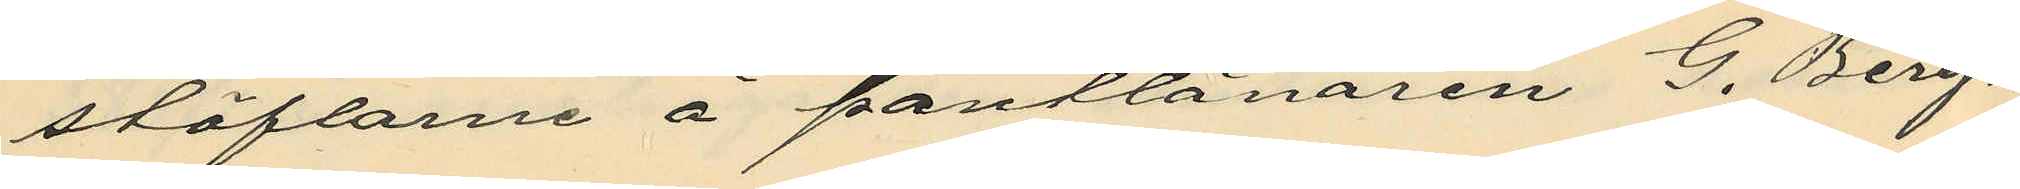stöflarne å pantlånaren G. Berg¬
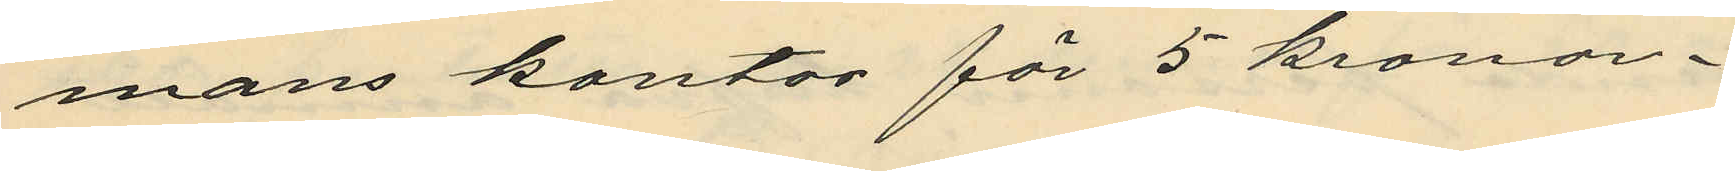mans kontor för 5 kronor.
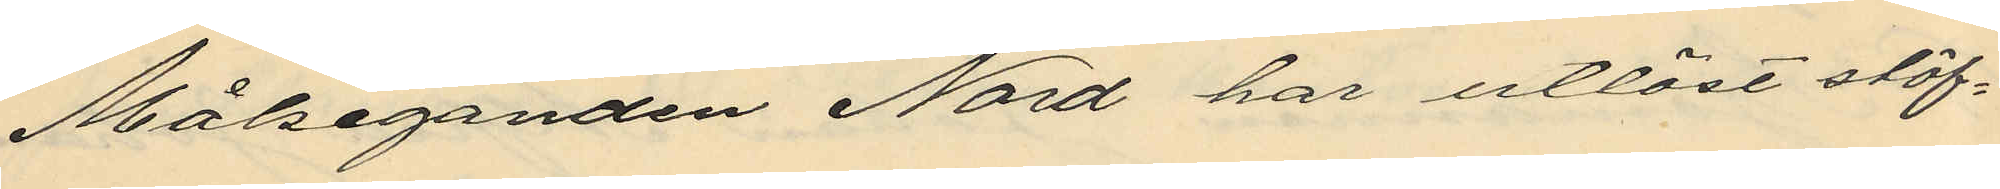Målseganden Nord har utlöst stöf¬
